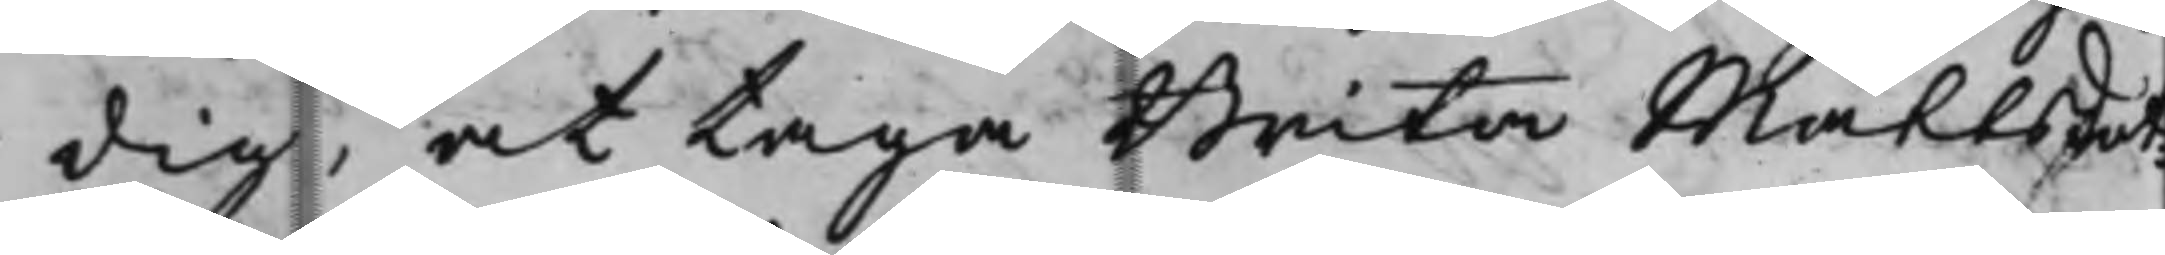dig, at taga Brita Mattsdot¬
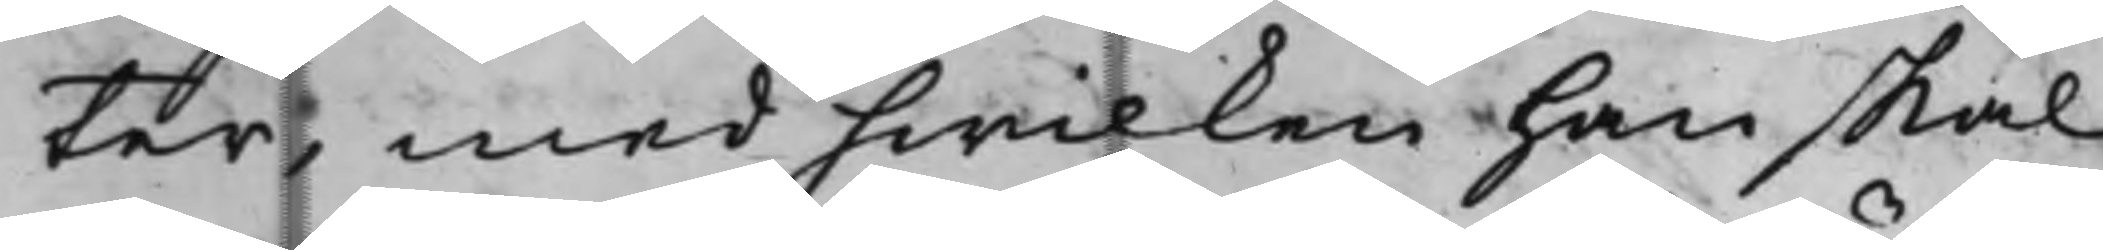ter, med hwilken han skal
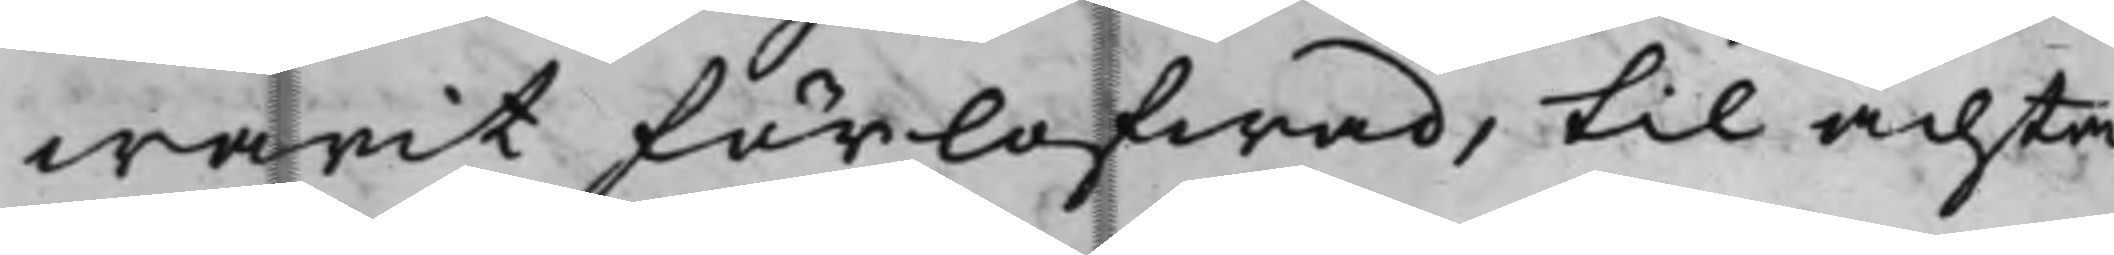warit förlofwad, till ächta,
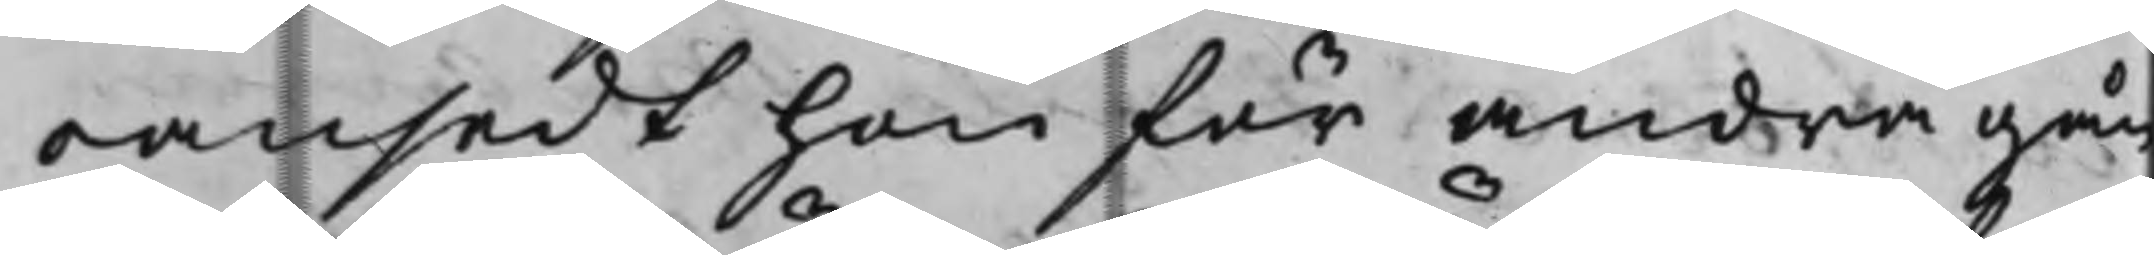oansedt hon för andra gån¬
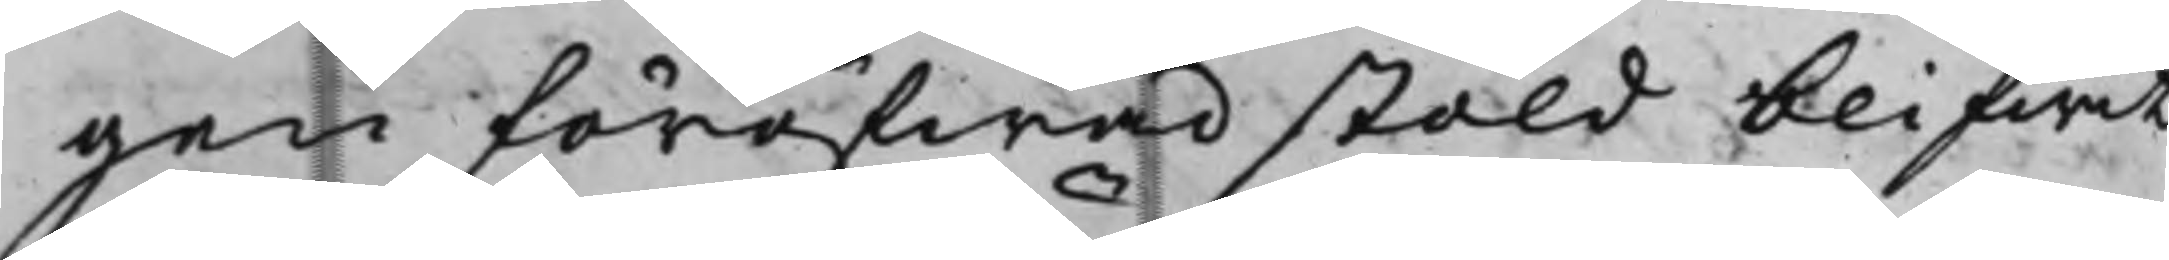gen föröfwad stäld blifwit
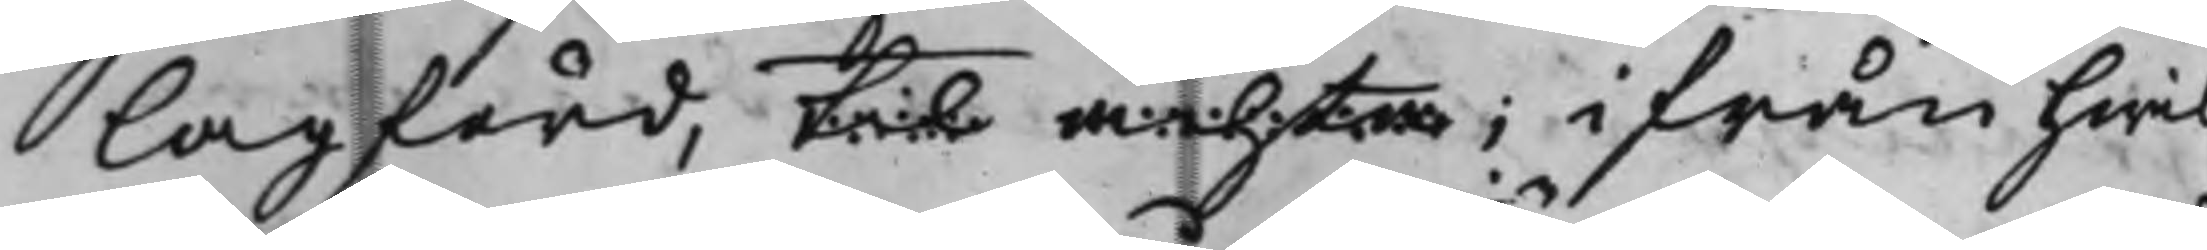lagförd, til ächta; ifrån hwil¬
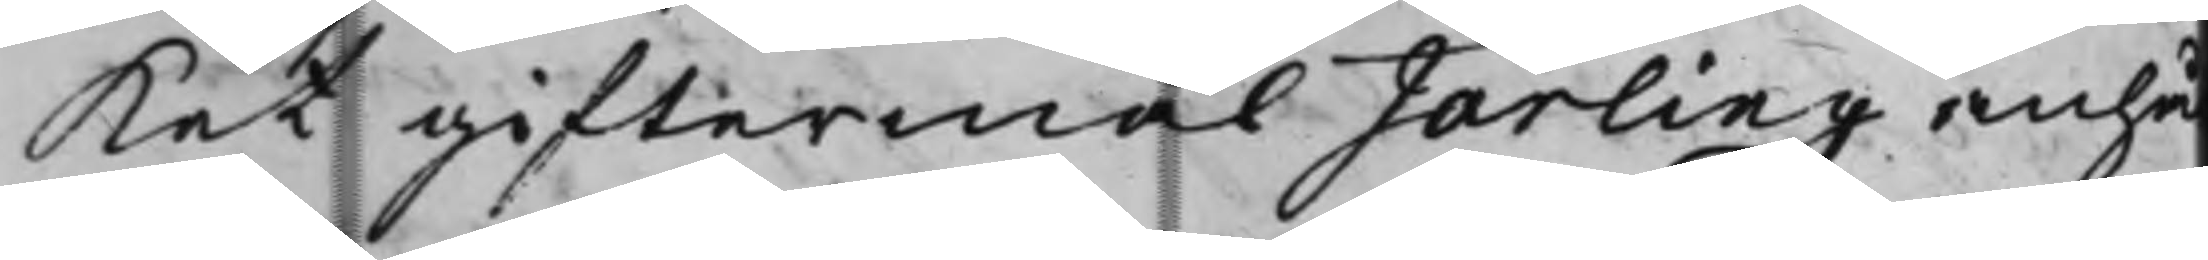Ket giftermål Järling, anhå¬
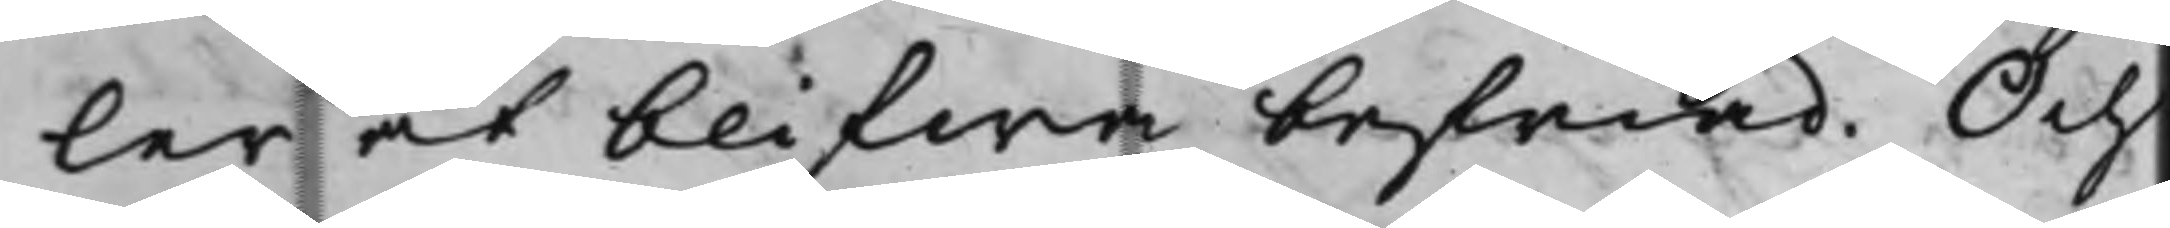ler at blifwa befriad. Och
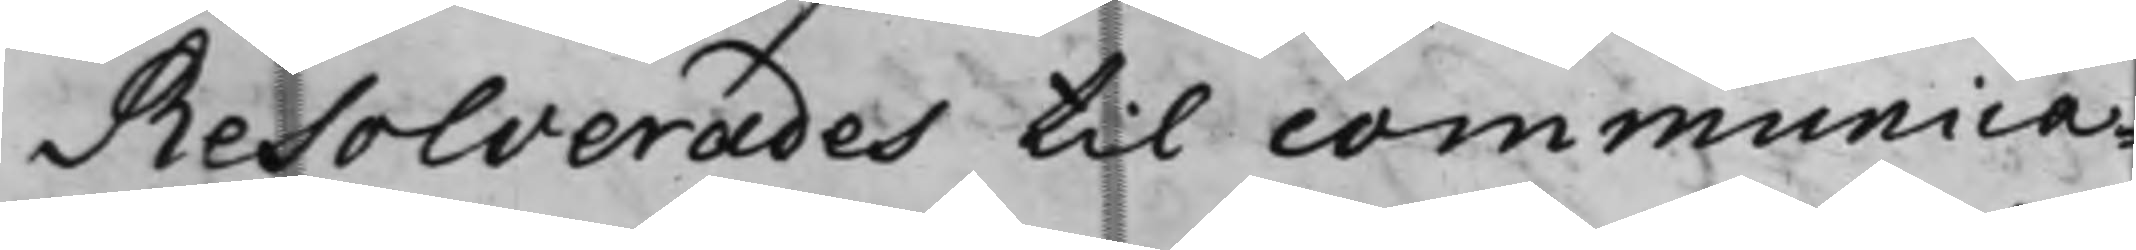Resolverades til communica¬
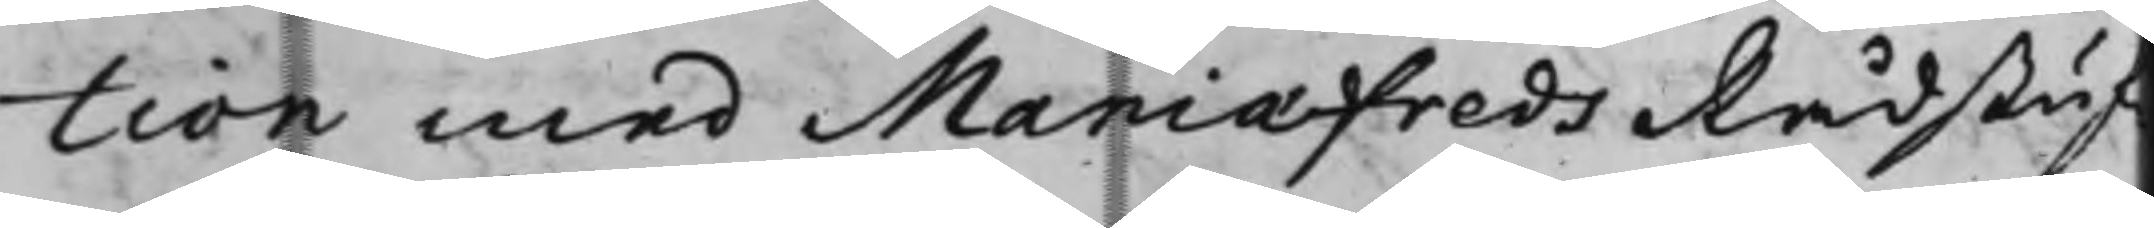tion med Mariæfreds Rådstuf¬
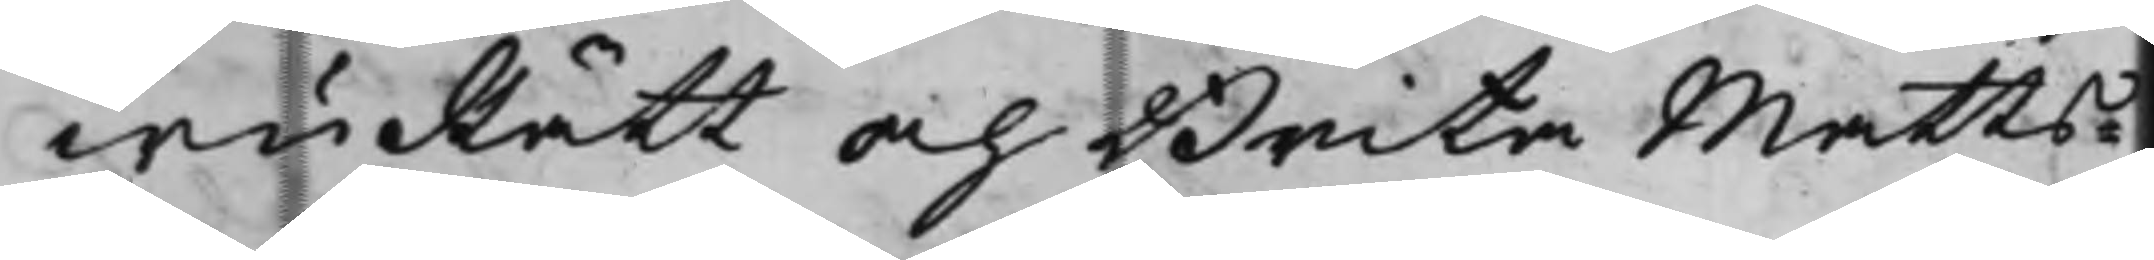wuRätt och Brita Matts¬
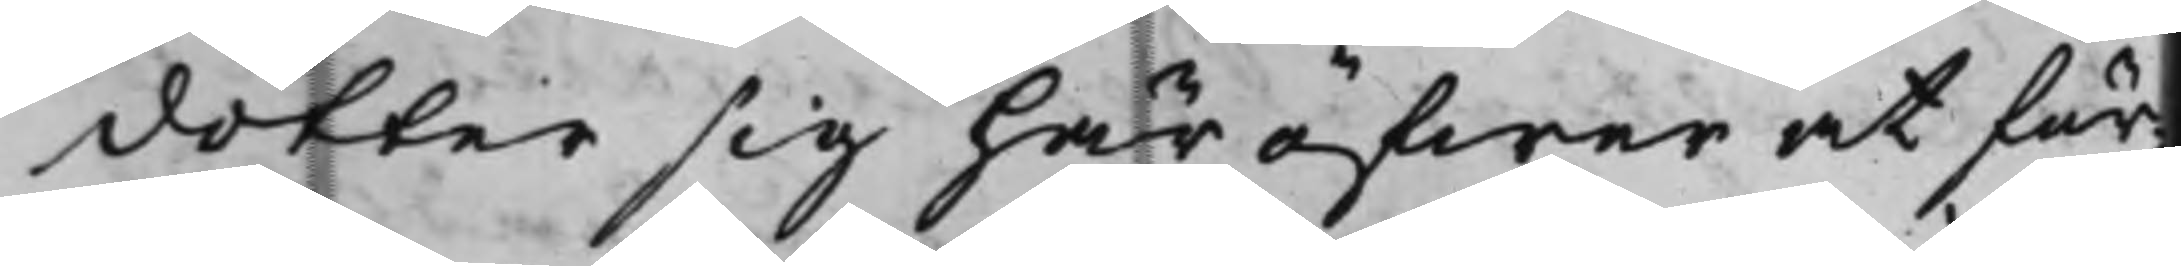dotter sig här öfwer at för¬
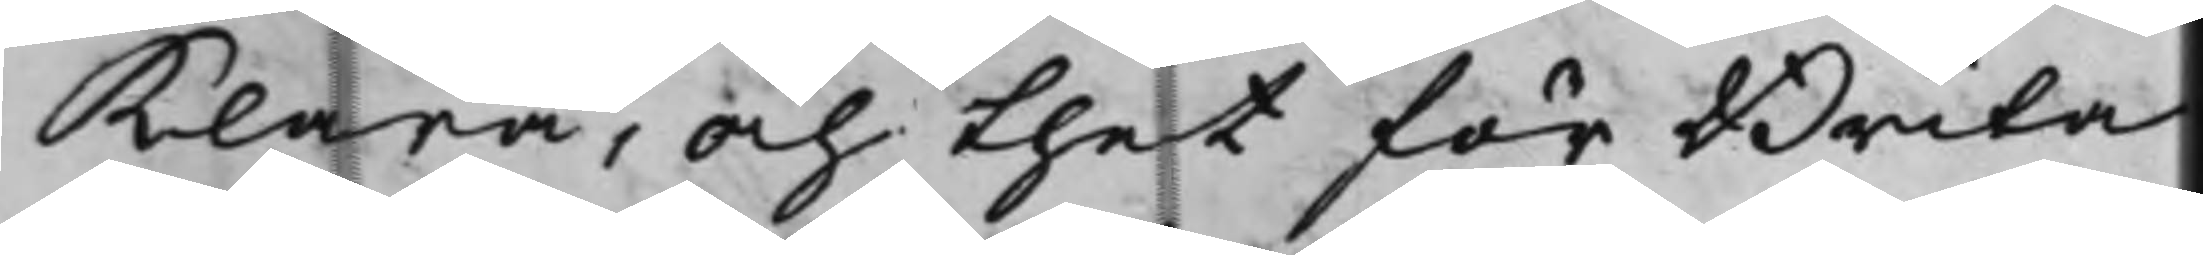klara, och thet för Brita
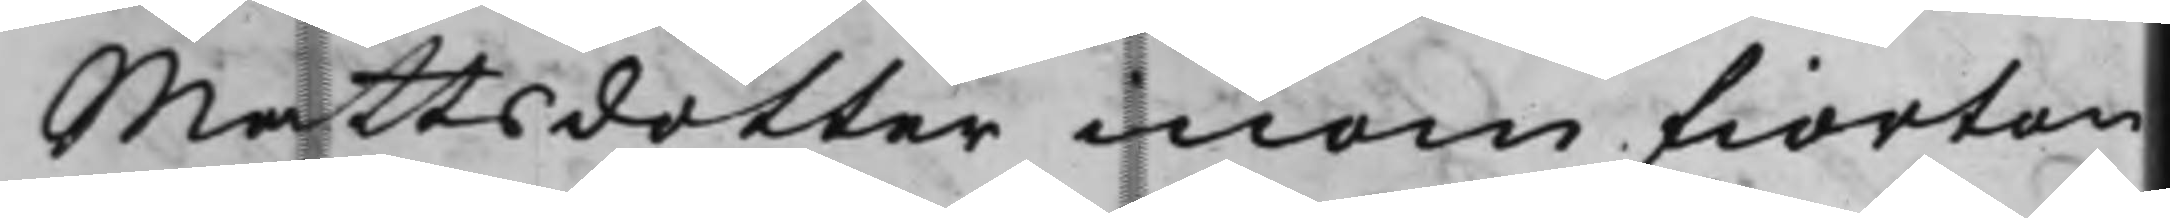Mattsdotter inom fiorton
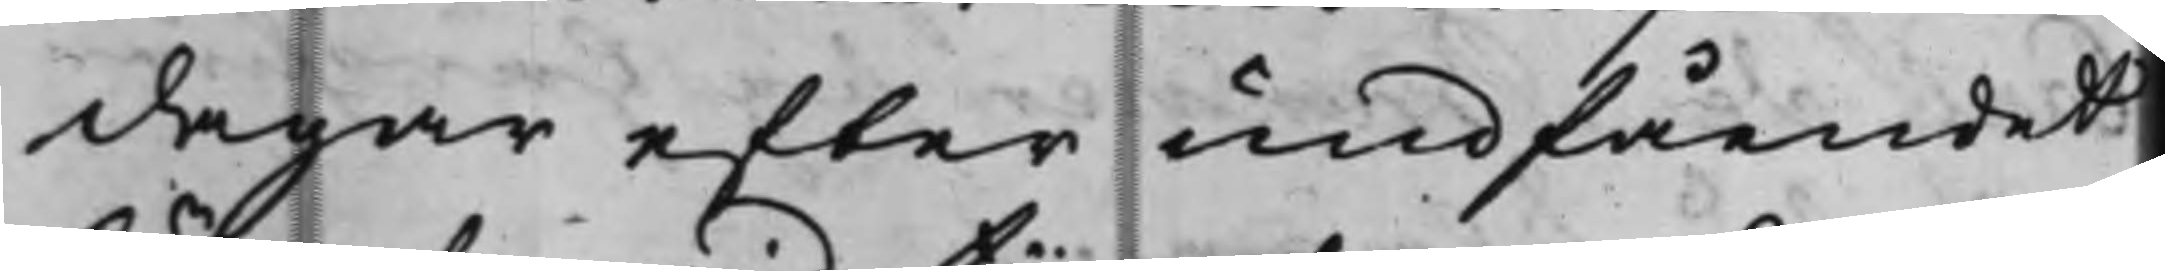dagar efter undfåendet
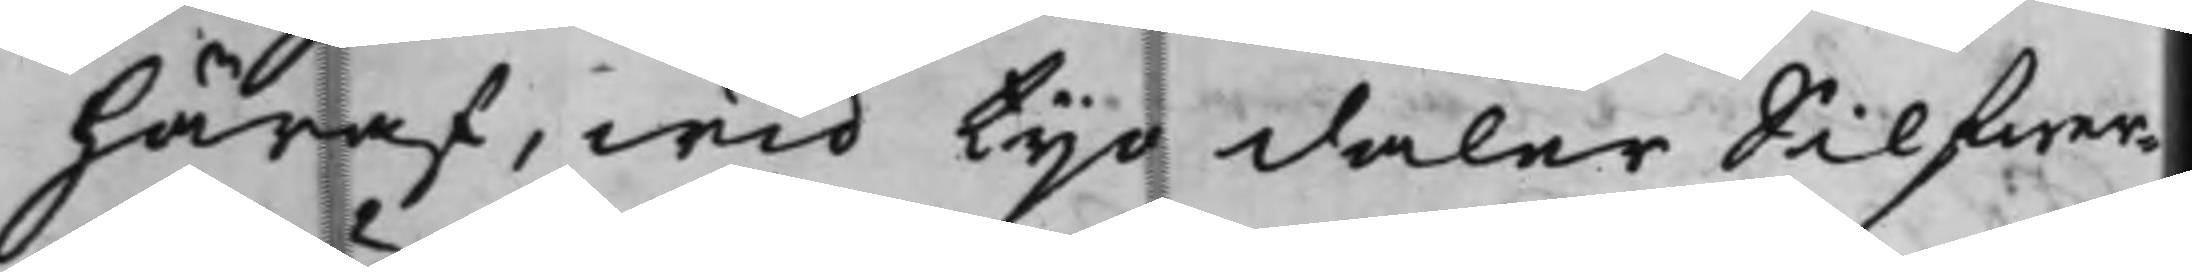häraf, wid tijo daler Silfwer¬
